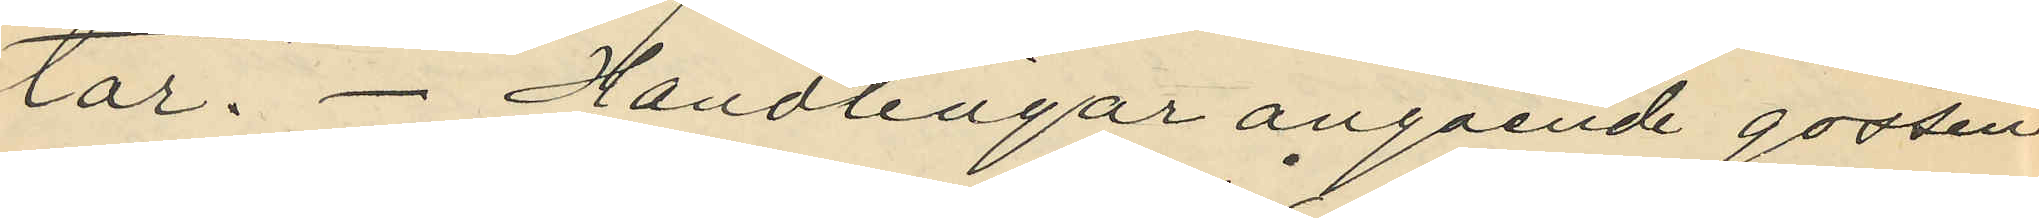tar. Handlingar angående gossen
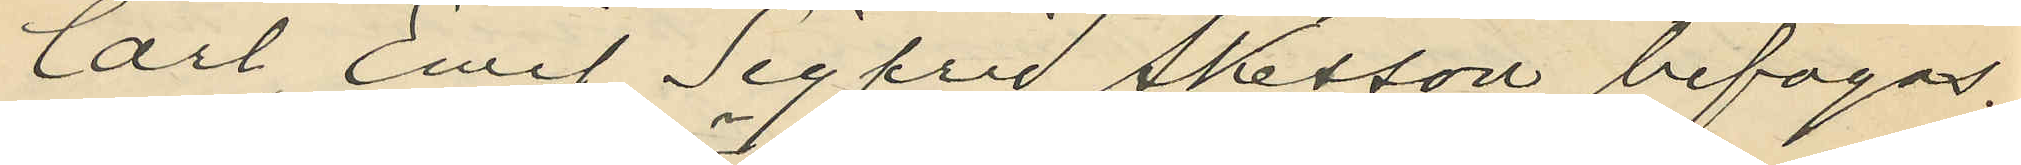Carl Emil Sigfrid Åkesson bifogas.
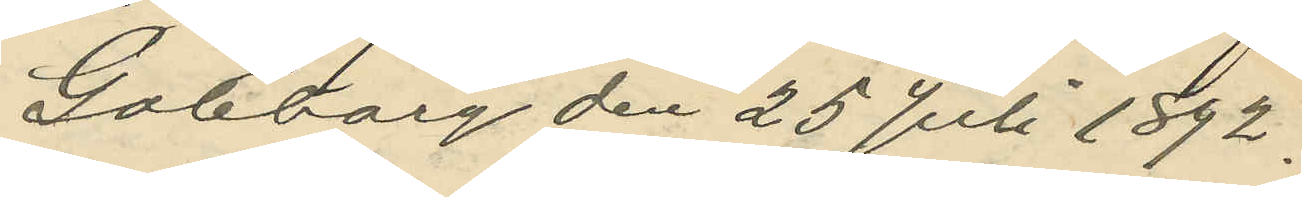Göteborg den 25 Juli 1892.
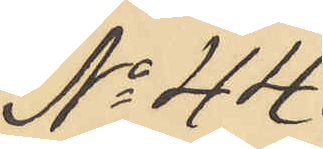No 44.
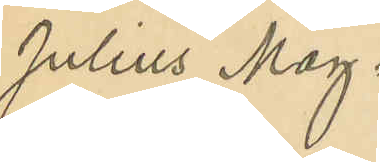Julius Mag¬
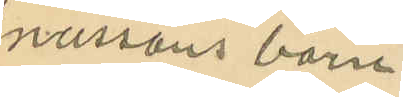nussons barn
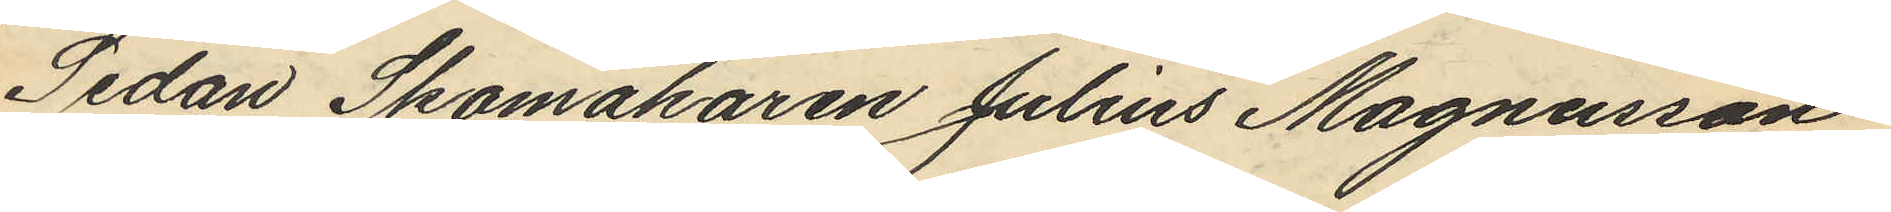Sedan Skomakaren Julius Magnusson
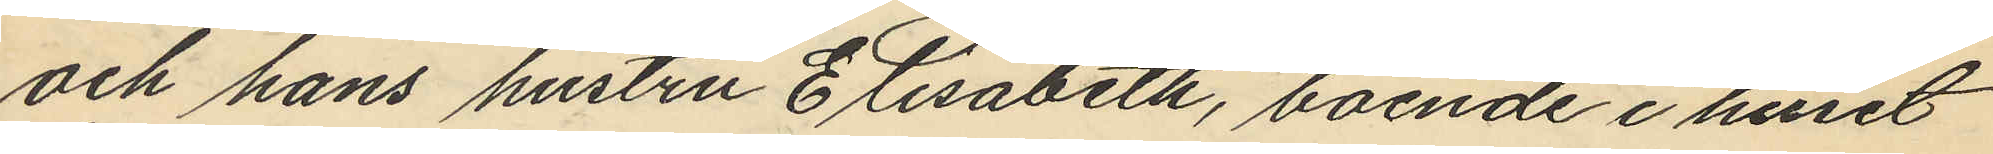och hans hustru Etisabeth, boende i huset
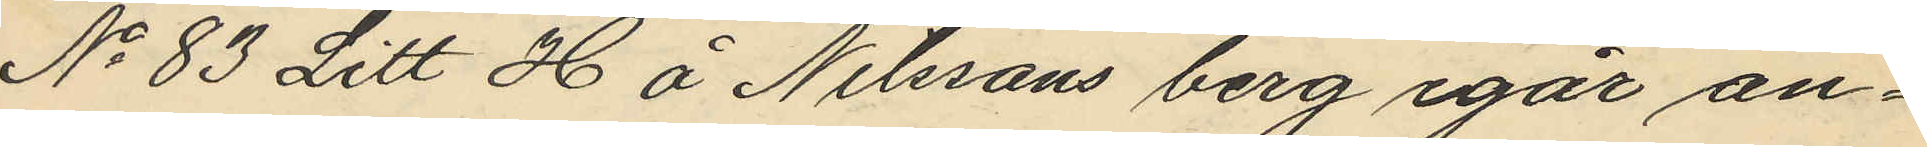No 83 Litt H å Nilssons berg igår an¬
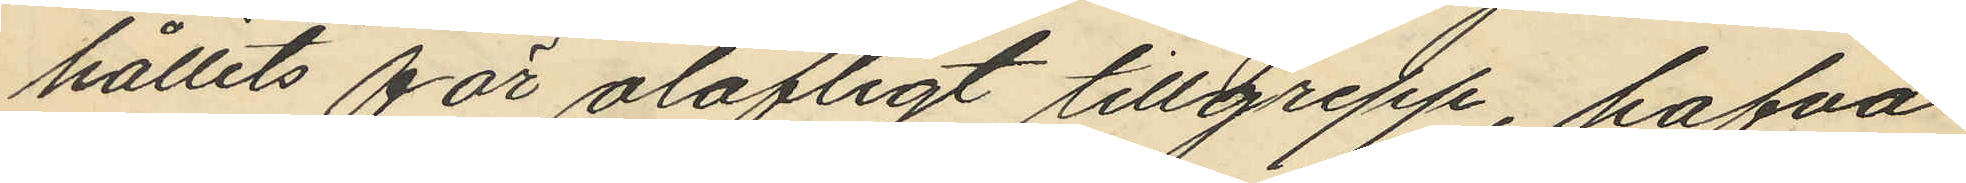hållits för olofligt tillgrepp, hafva
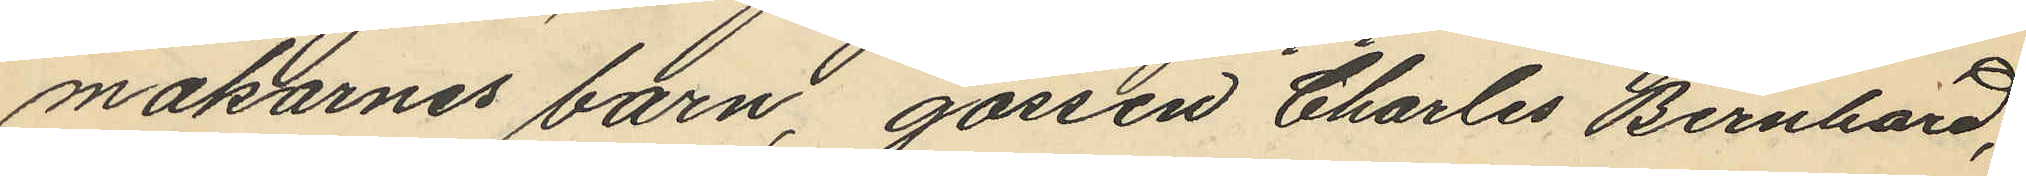makarnes barn, gossen Charles Bernhard,
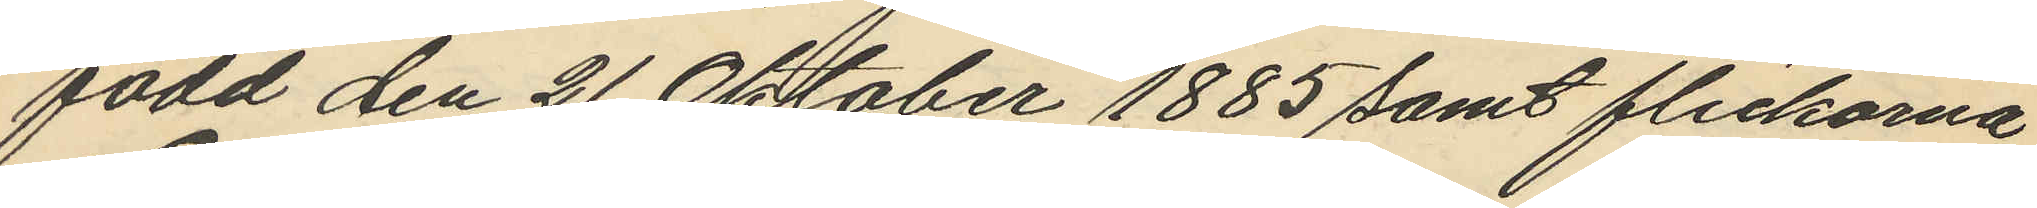född den 21 Oktober 1885 samt flickorna
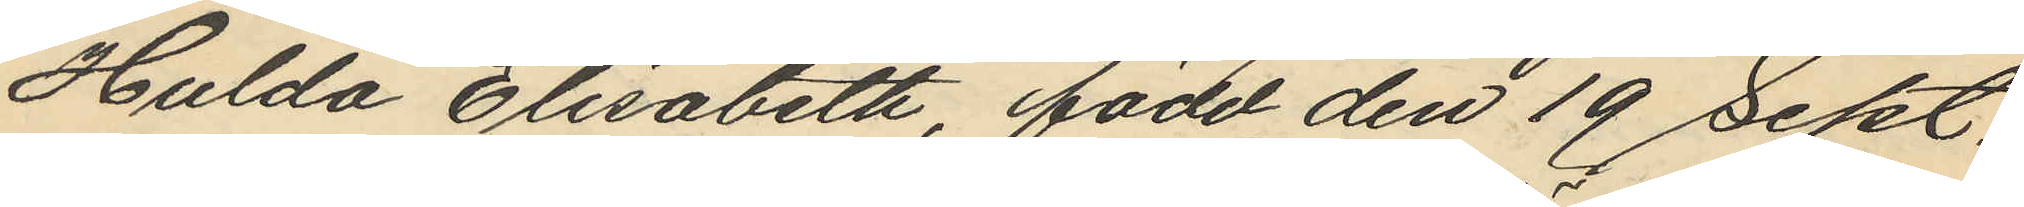Hulda Elisabeth, född den 19 Sept.
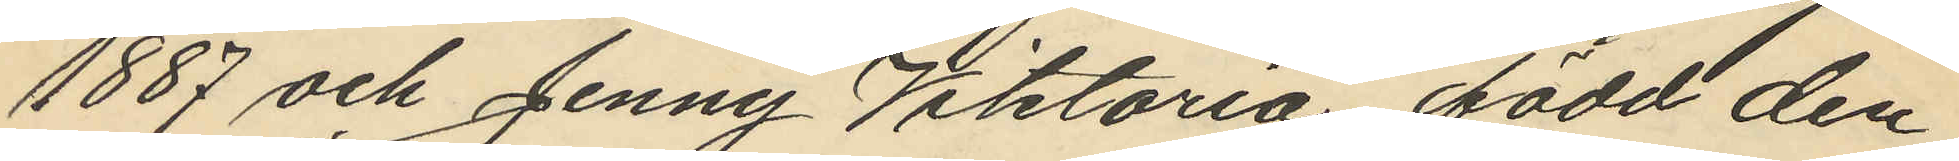1887 och Jenny Viktoria född den
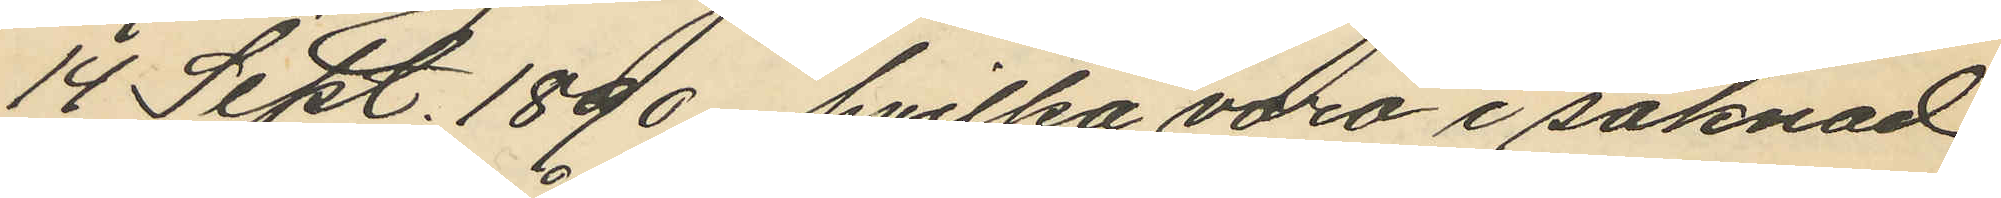14 Sept. 1890, hvilka vara i saknad
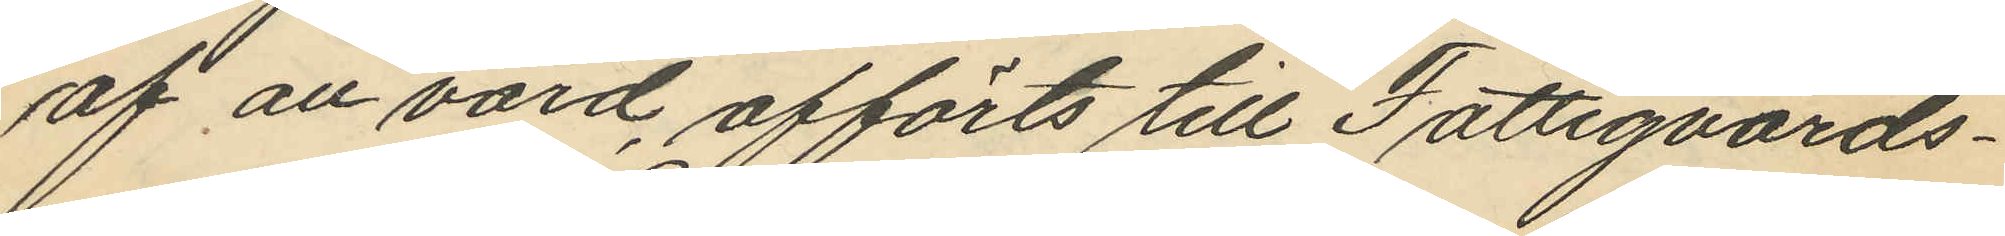af an vård, afförts till Fattigvårds¬
